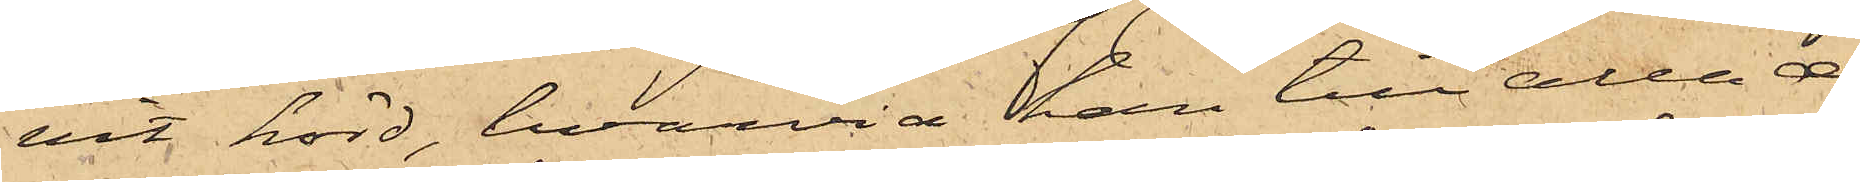vit hörd, hvarvid han till alla de¬
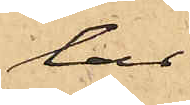lar
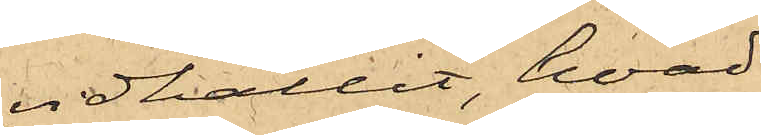vidhållit, hvad
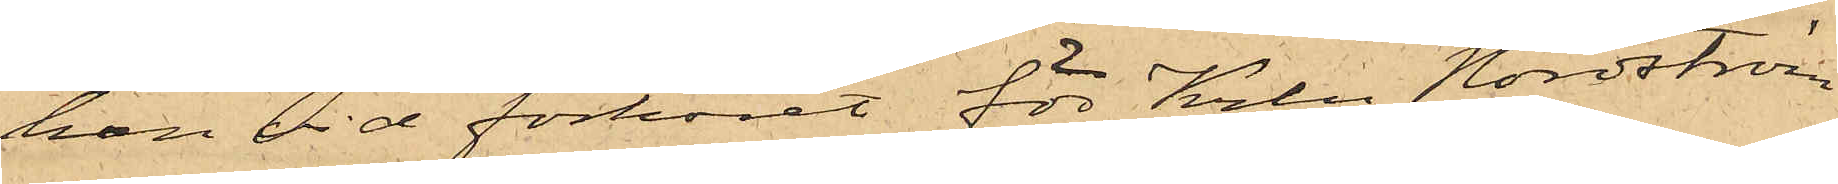han vid förhöret för Krln Nordström
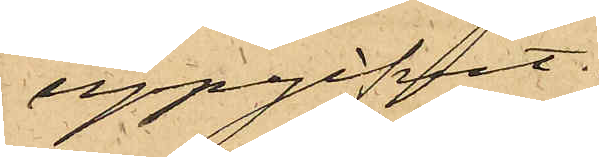uppgifvit.
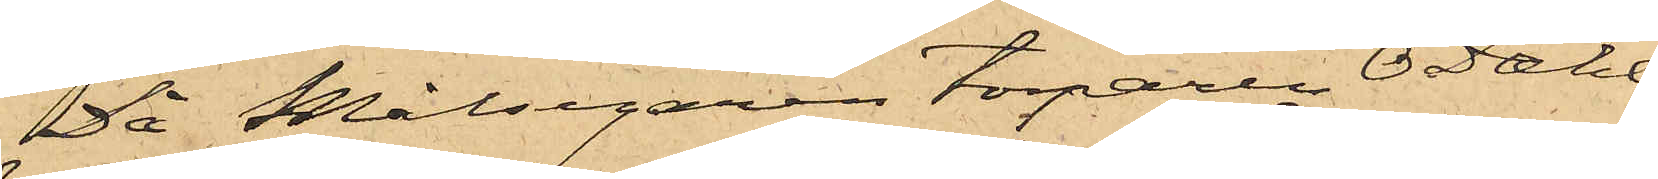Då Målsegaren torparen O. Dahl¬
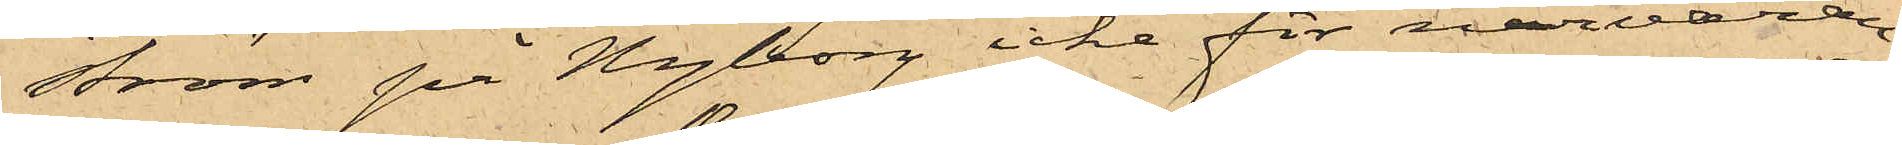ström på Nyborg icke för närvaran¬
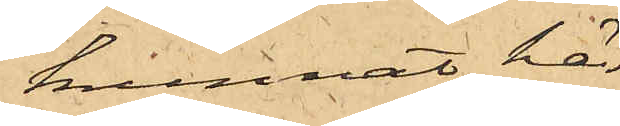kunnat här
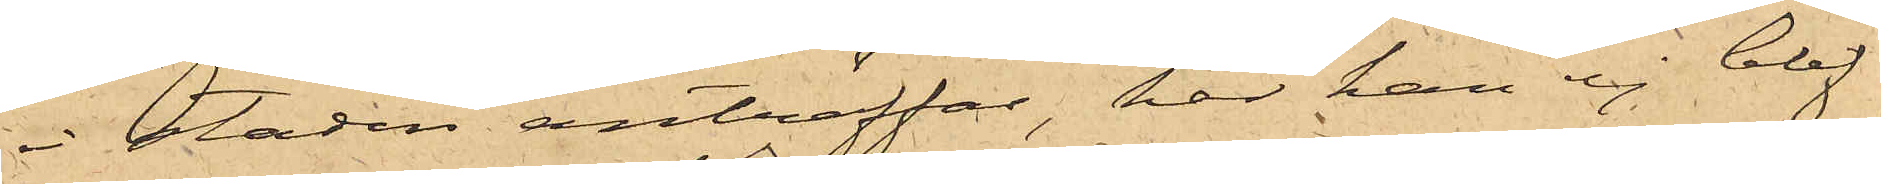i staden anträffas, har han ej blif¬
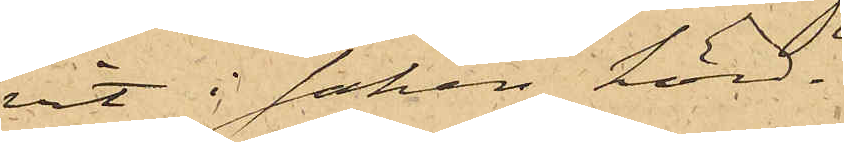vit i saken hörd.
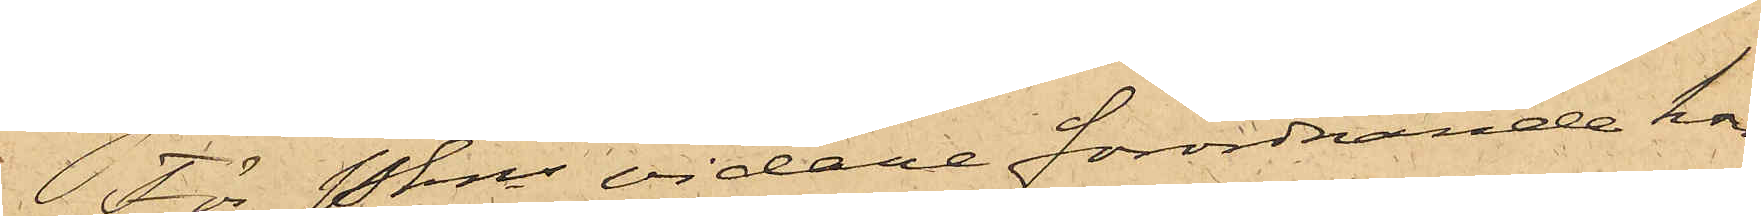För Pkns vidare förordnande kom¬
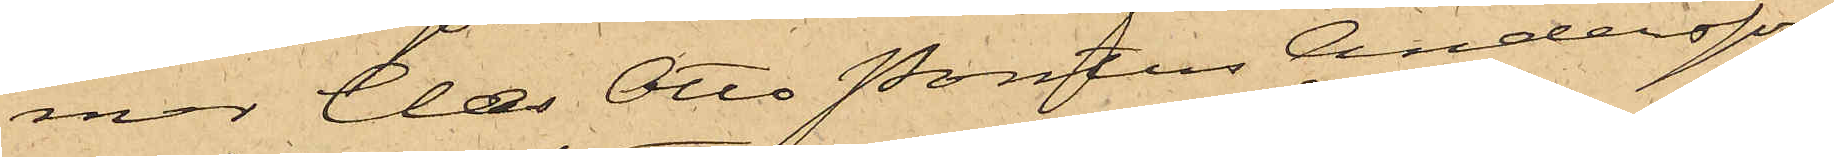mer Clæs Otto Pontus Andersson,
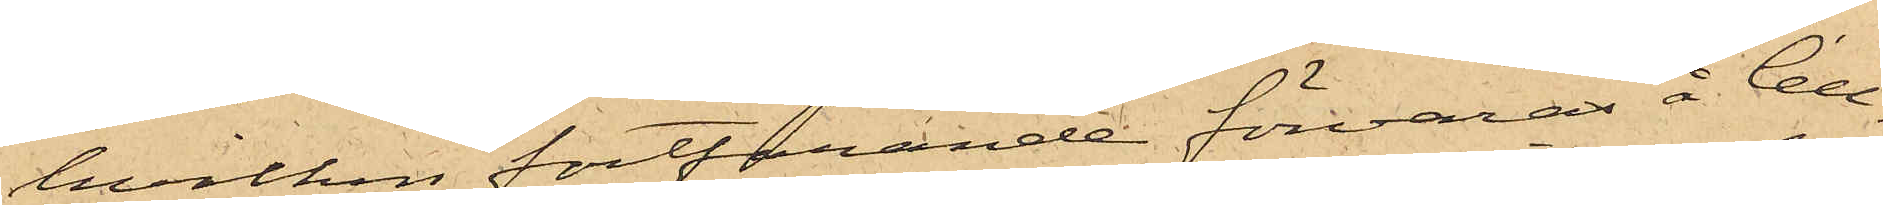hvilken fortfarande förvaras å Cell¬
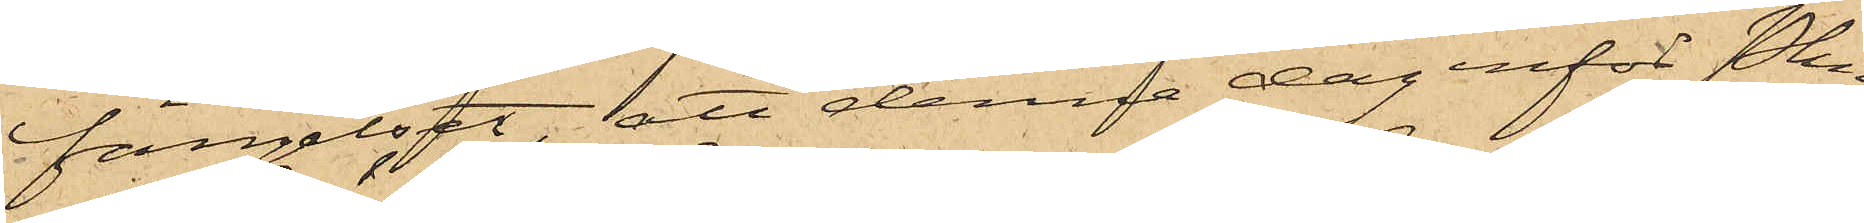fängelset, att denna dag inför Pkn
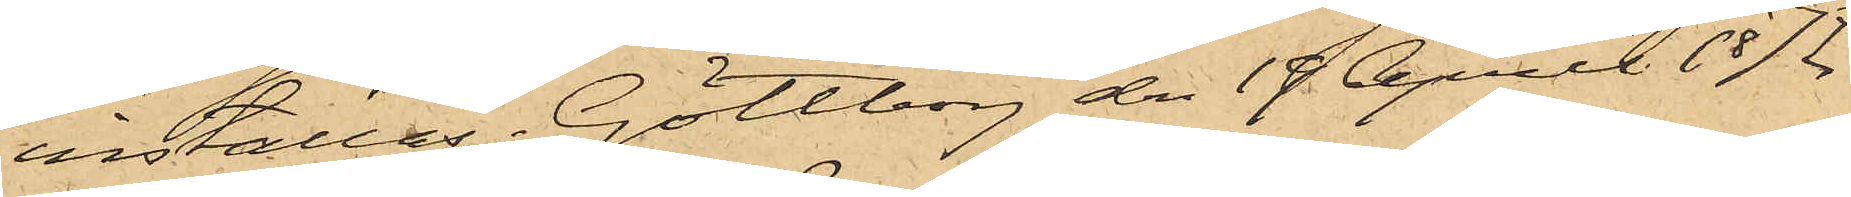inställas. Göteborg den 19 April 1872.
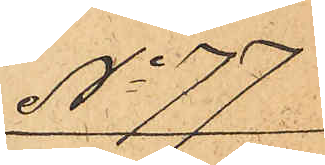No 77
